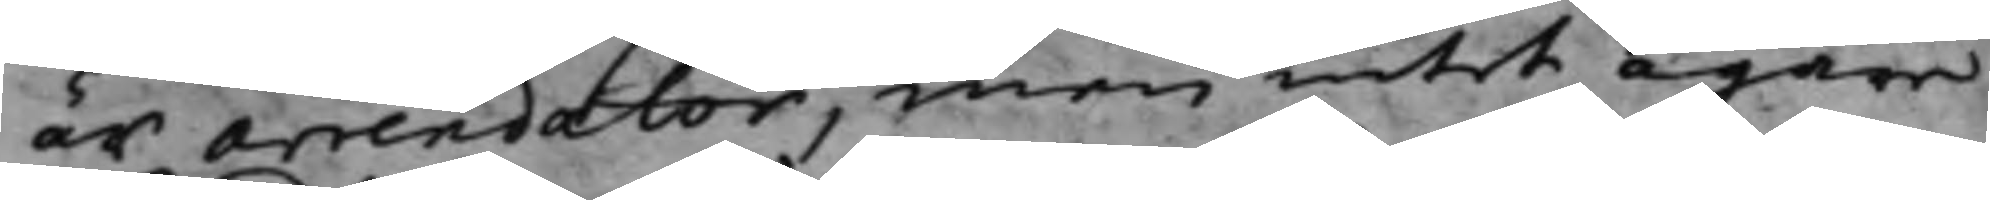är arrendator, men intet ägare.
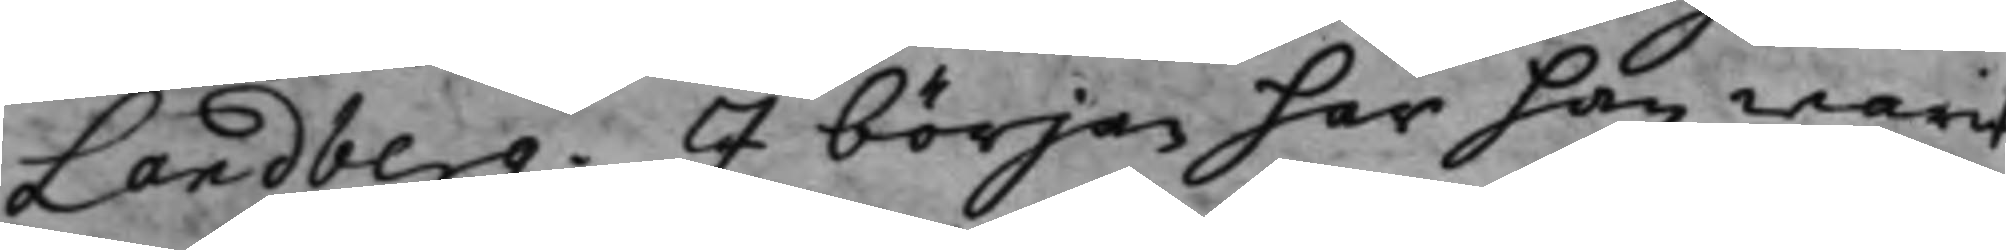Landberg. I början har han warit
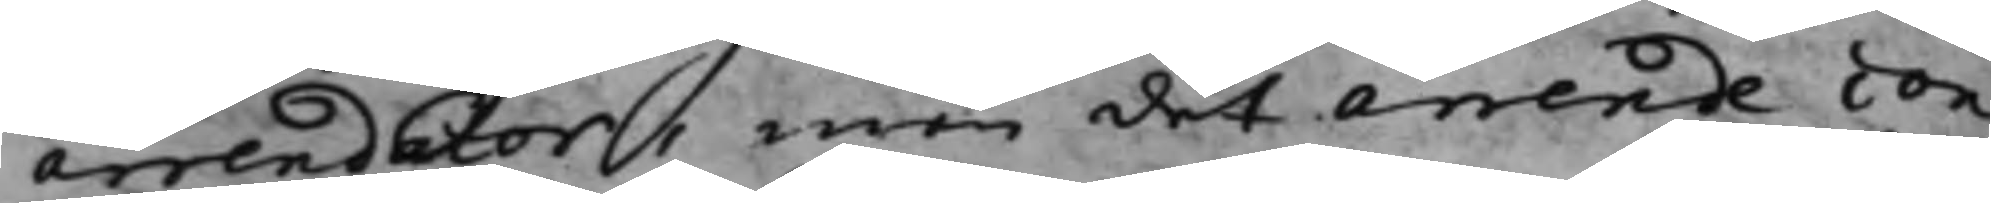arrendator, men det arrende con¬
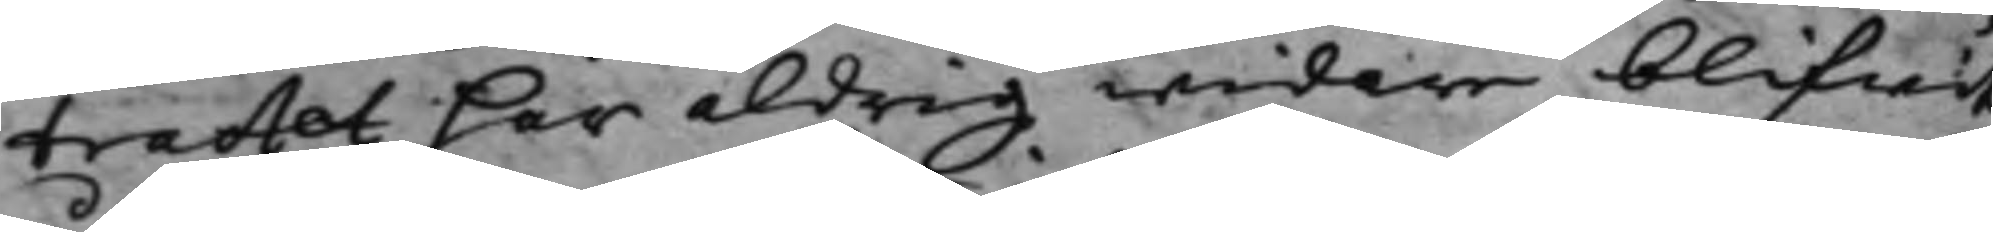tractet har aldrig widare blifwit
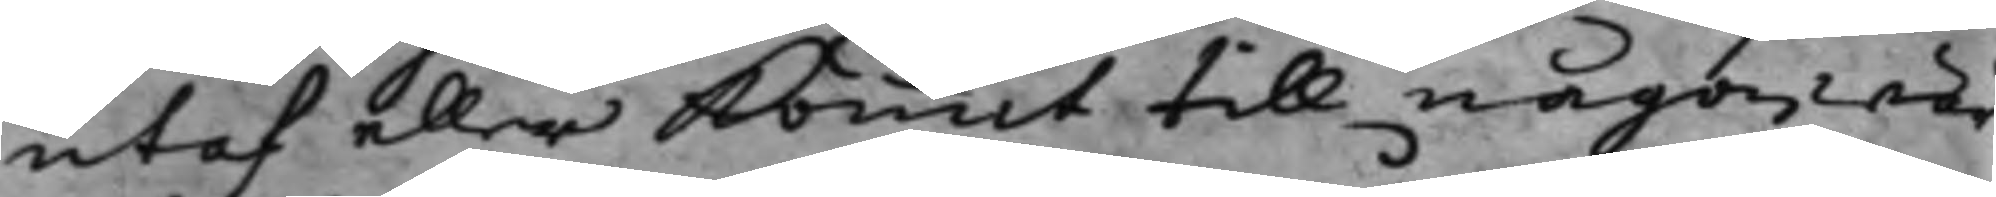utaf eller kommit till någon wär¬
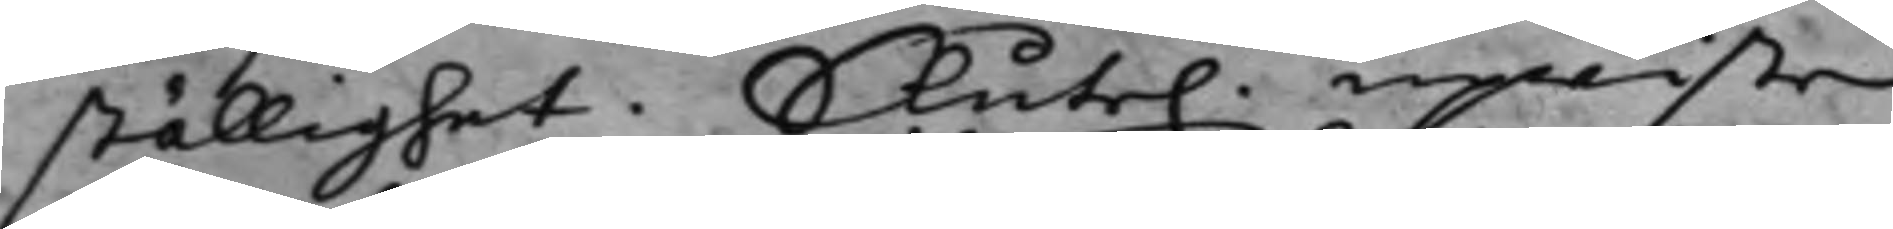ställighet. Slute. upwiste
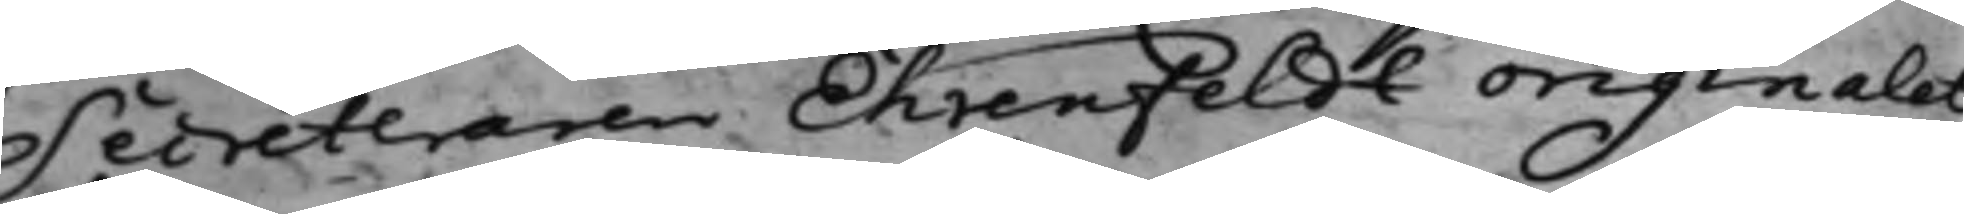Secreteraren Ehrenfeldt originalet
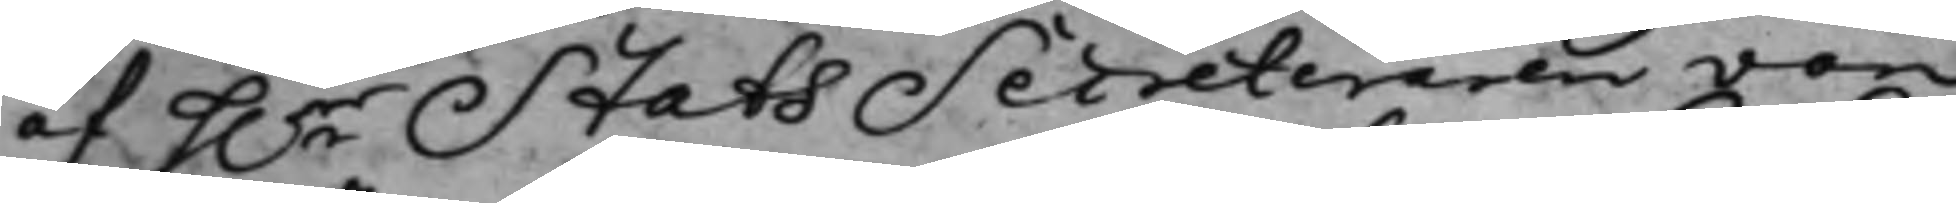af h.r StatsSecreteraren von
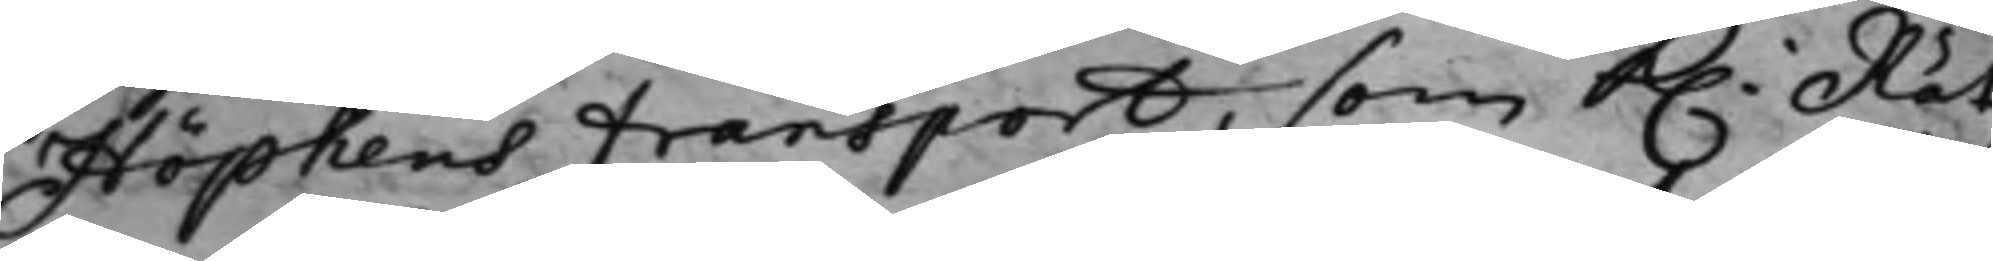Höpkens transport, som K. Rät¬
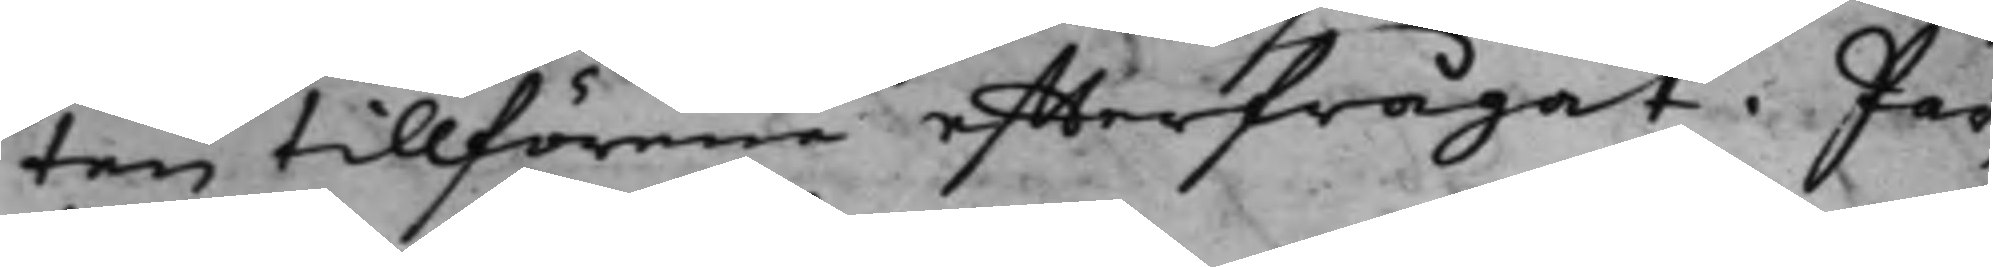ten tillförne effterfrågat. Par¬
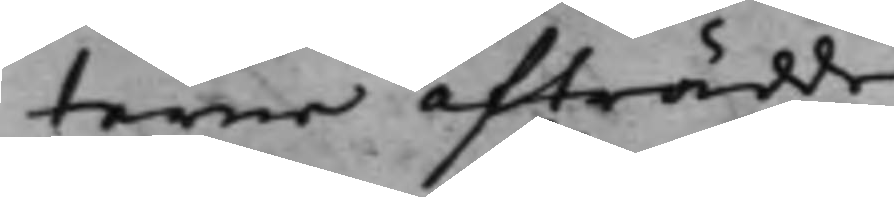terna afträdde.
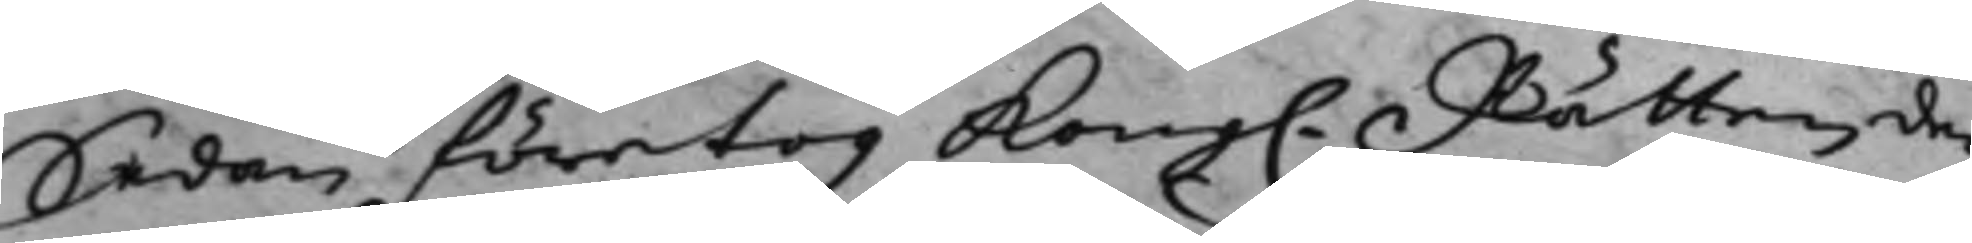Sedan företog Kong. Rätten, de¬
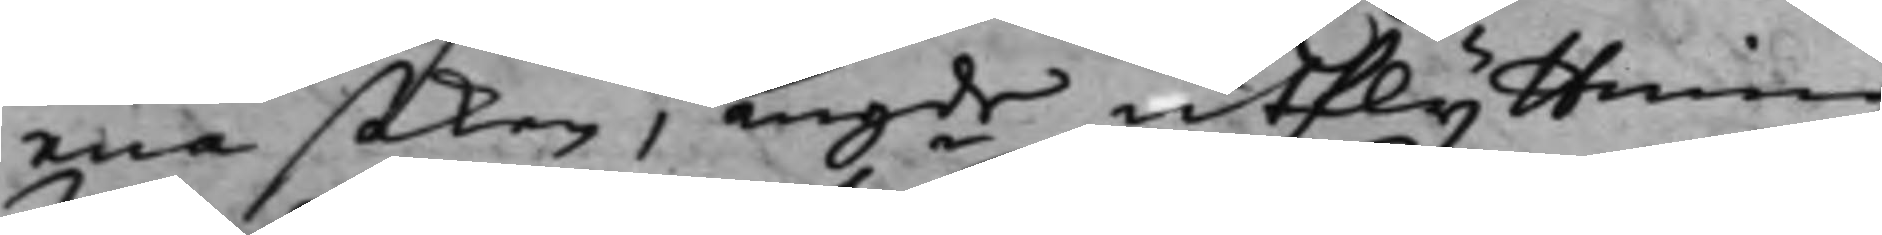nna saken, angde utflyttning
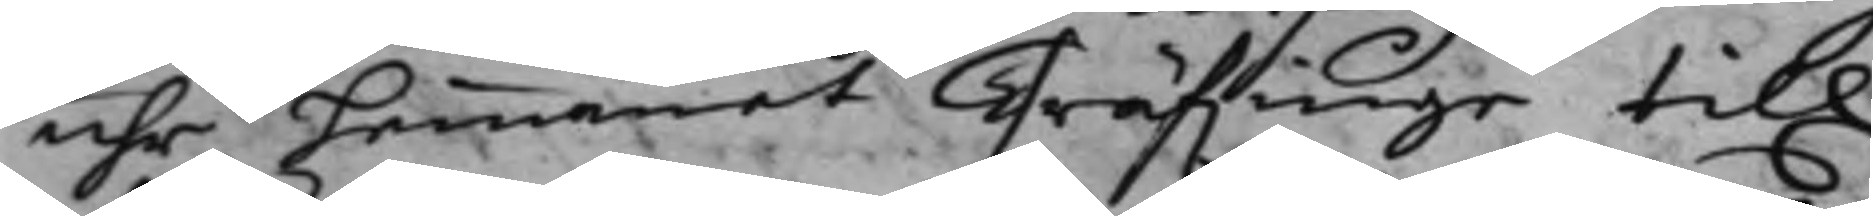uhr hemmanet Träfwinge till
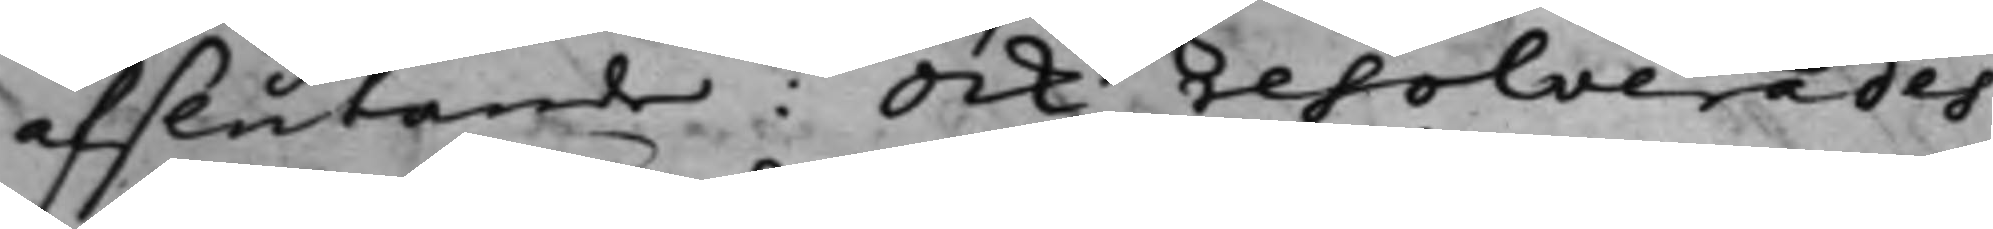afslutande: Ock resolverades
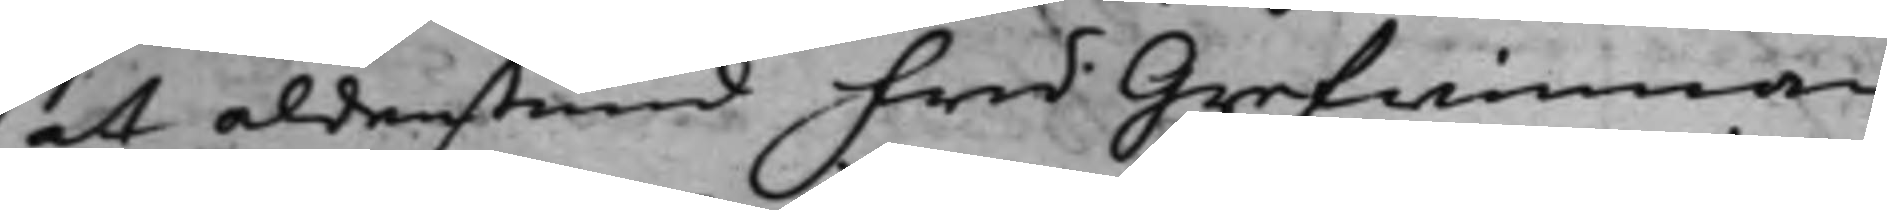at aldenstund fru Grefwinnan
